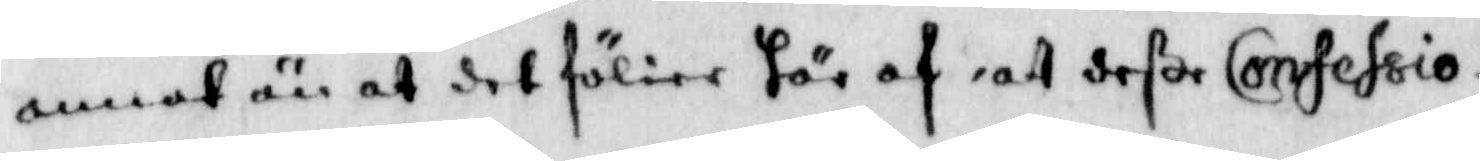annat än at det fölier här af att deße Confessio¬
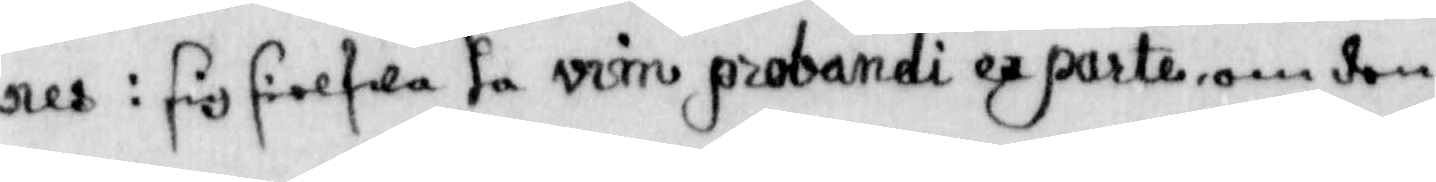nes i sig sielfwa ha virn probande ex parte, om den
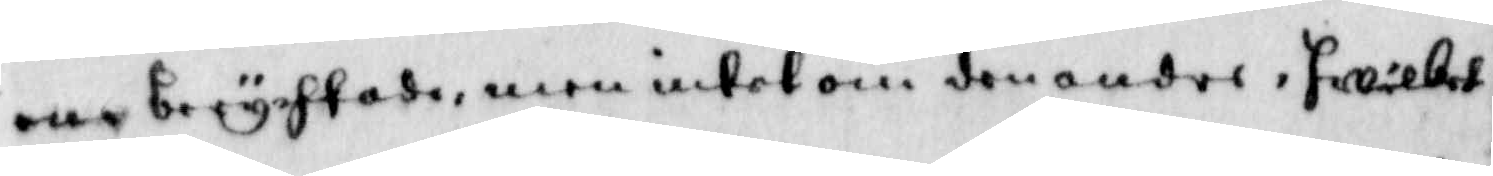ene berychtade, men intet om den andre, hwilket
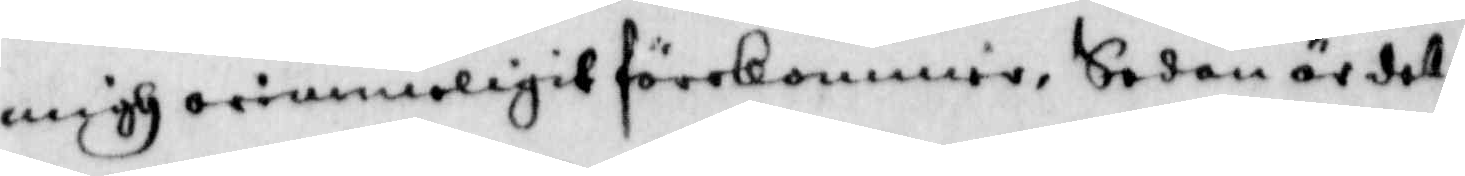migh orimmeligit förekommer, Sedan är det¬
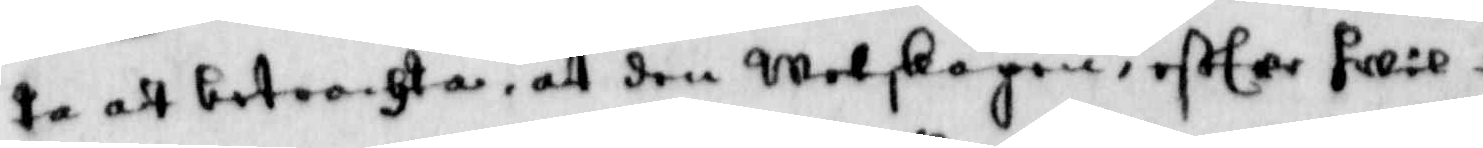ta att betrachta, att den Wetskapen, efter hwil¬
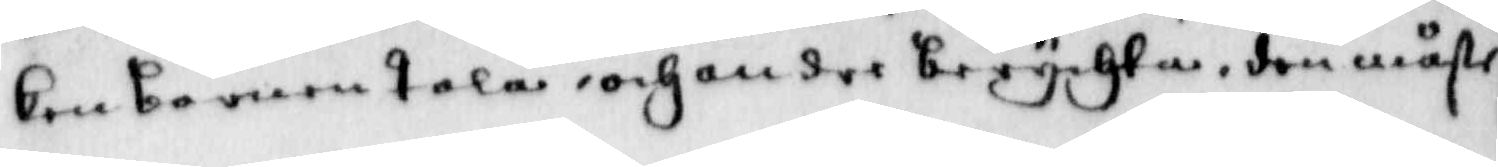ken barnen tala, och om dee berychta, den måste
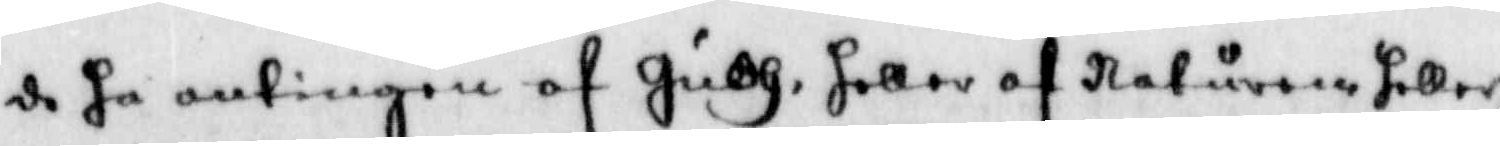de ha antingen af Gudh, heller af naturen heller
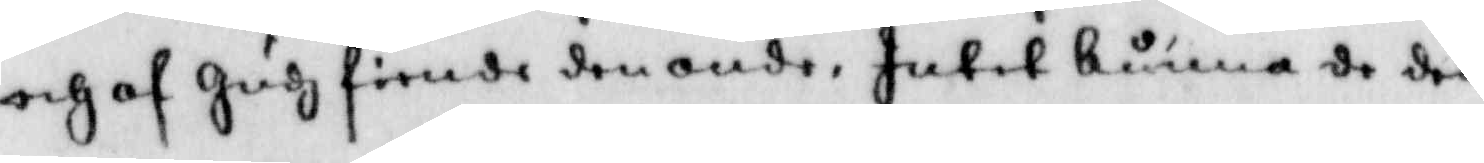och af Gudh fiende den onde, Intet kunna de den
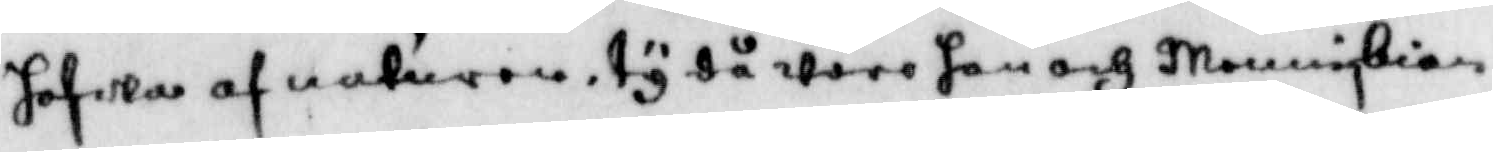hafwa af naturen, ty då ware han och Menniskian
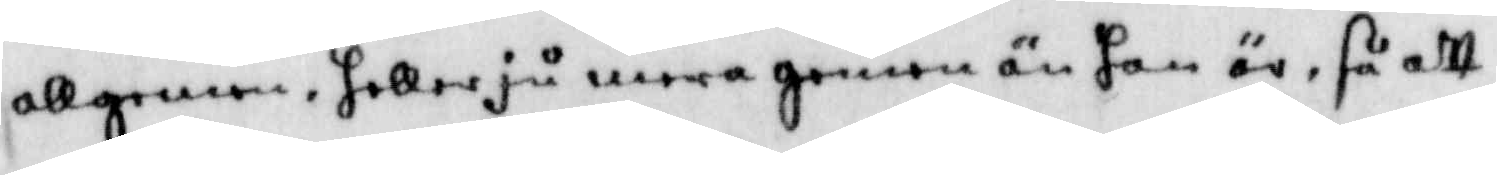allgemen, heller ju mera gemen än han är, så att
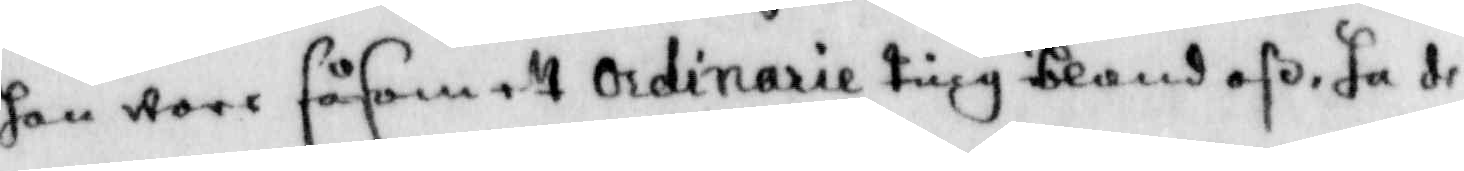han wore såsom ett ordinarie ting ibland oß, ha de
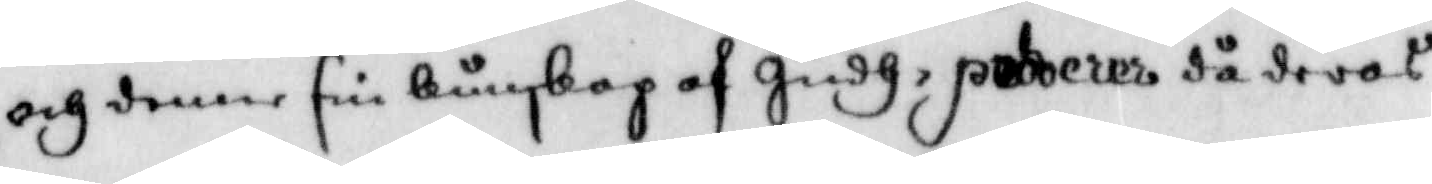och denne sin kundskap af Gudh, preberer då deras
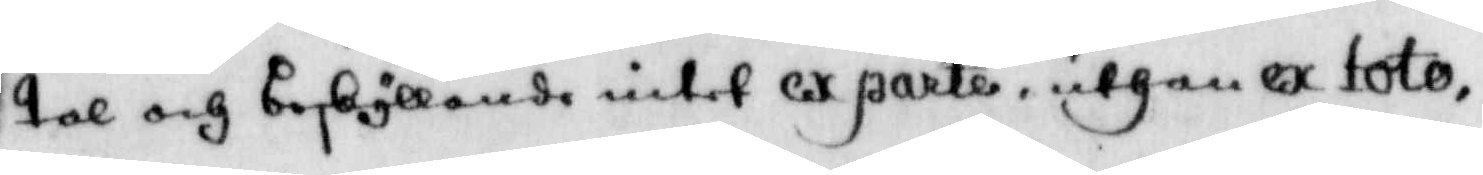tal och beskyllande intet ex parte, uthan ex toto,
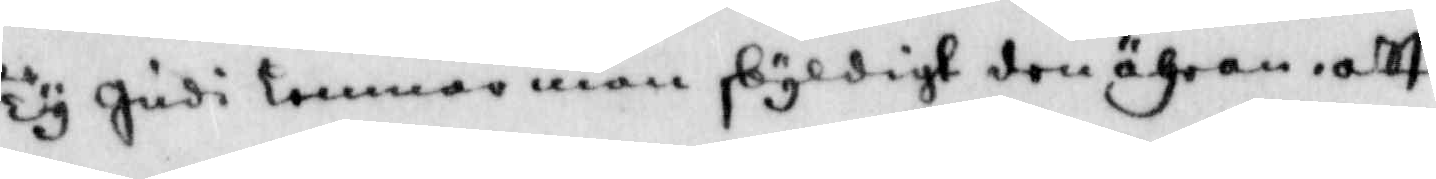Ty udi lemnar man skyldigt den ähran, att
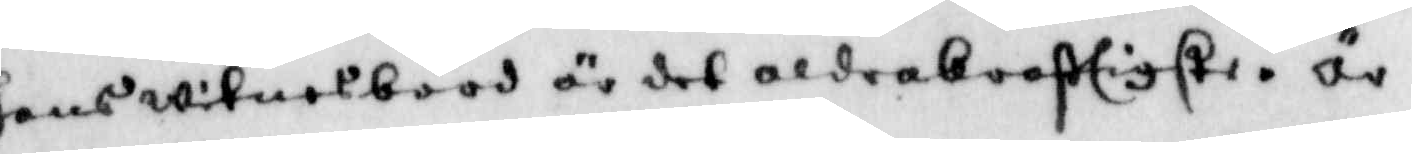hans witnesbörd är det aldra kraftigste, är
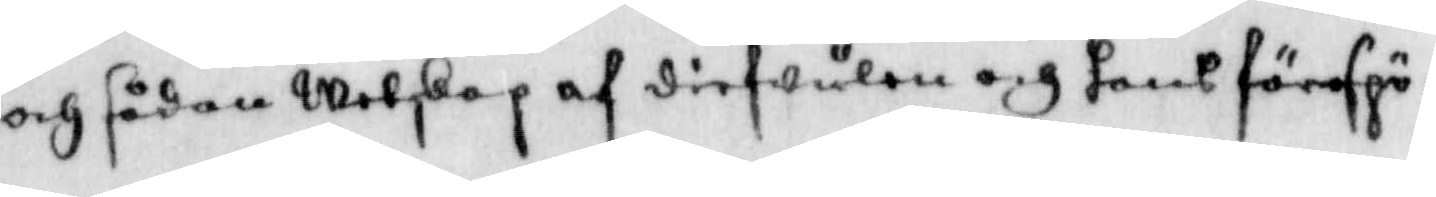och sådan Wetskap af diefwulen och hans förespö¬
